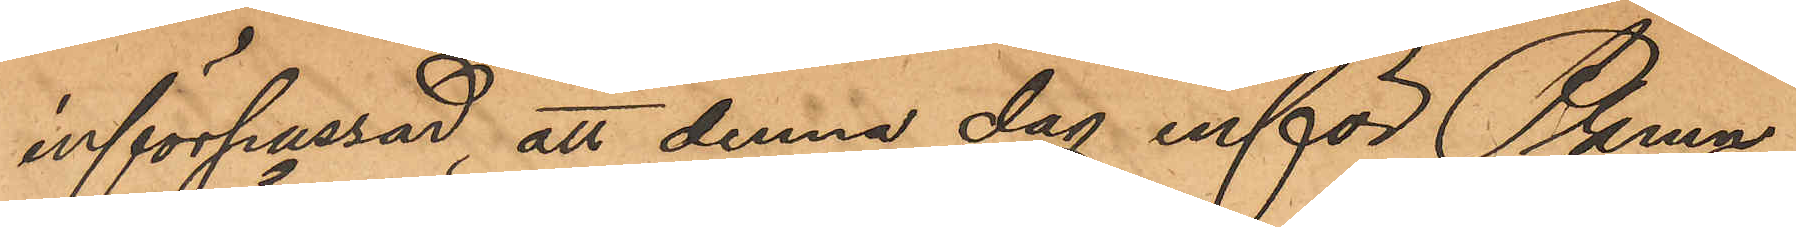införpassad, att denna dag inför Pkmn
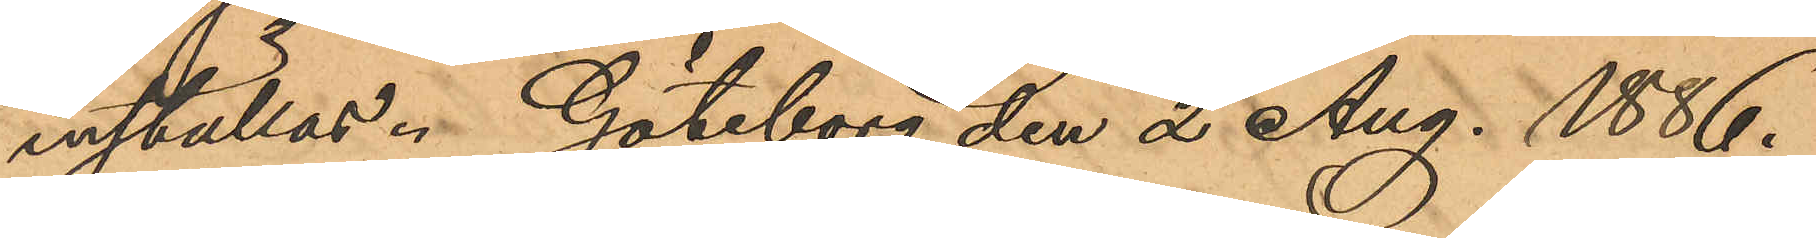inställas. Göteborg den 2 Aug 1886.
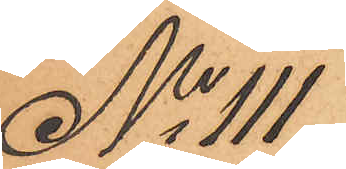No 111
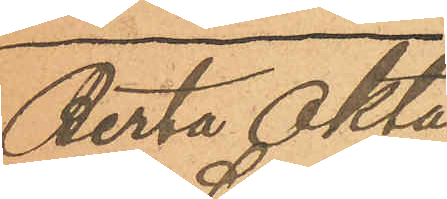Berta Okta¬
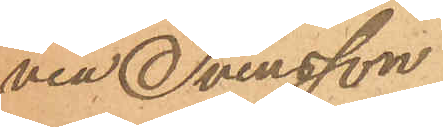via Svensson
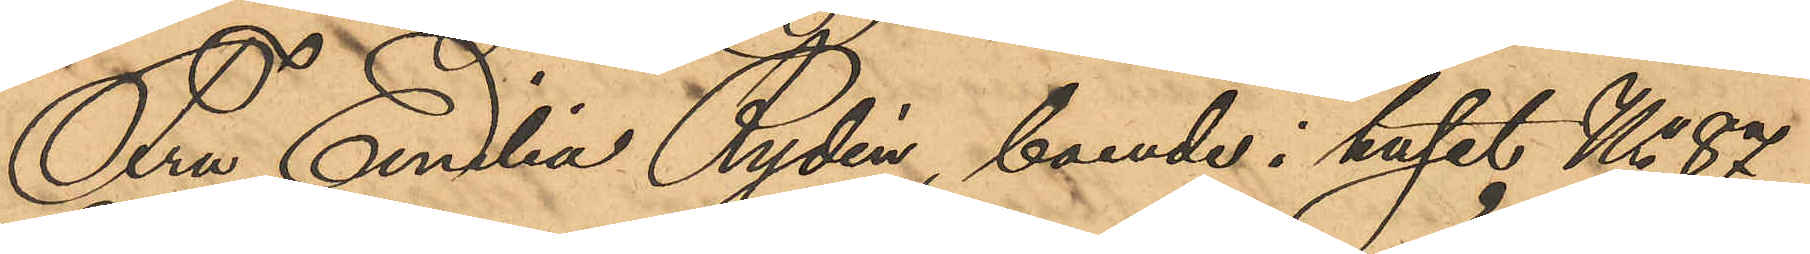Fru Emilia Rydén, boende i huset No 87
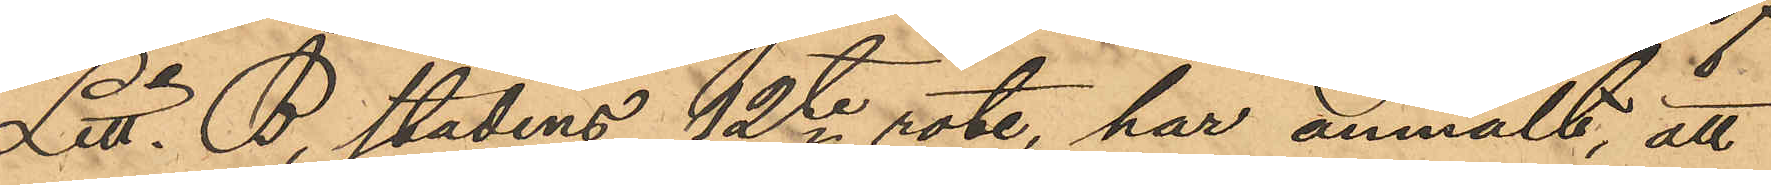Litt. B, stadens 12te rote, har anmält, att
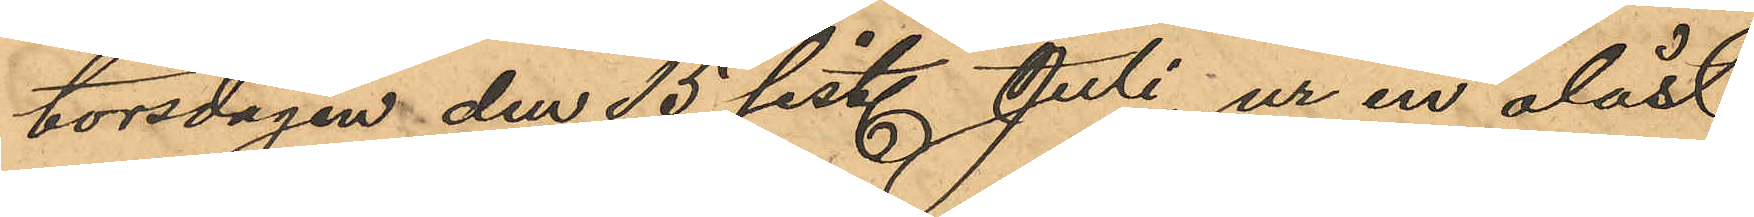torsdagen den 15 sist. Juli, ur en olåst
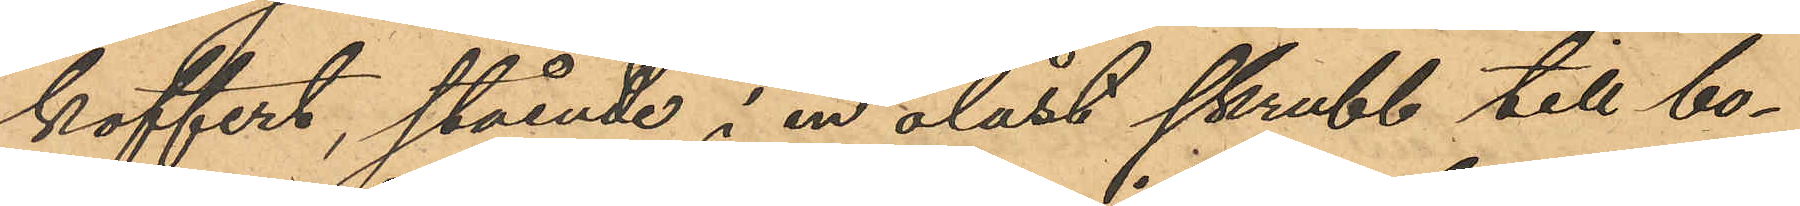koffert, stående i en olåst skrubb till bo¬
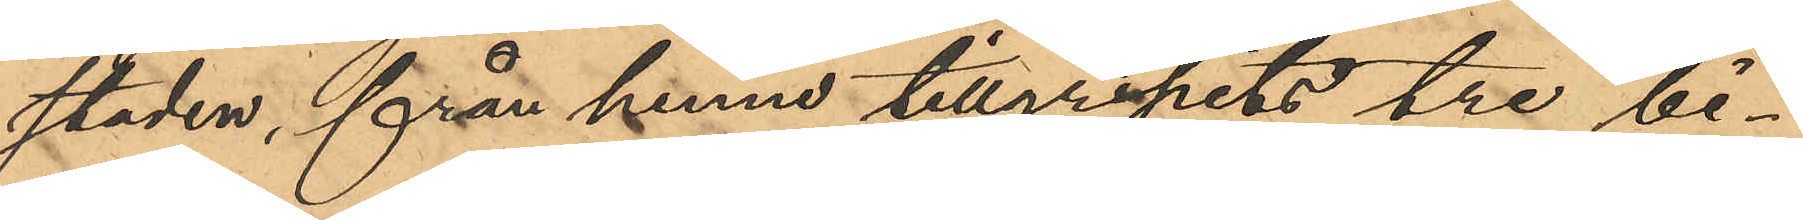staden, från henne tillgripits tre bi¬
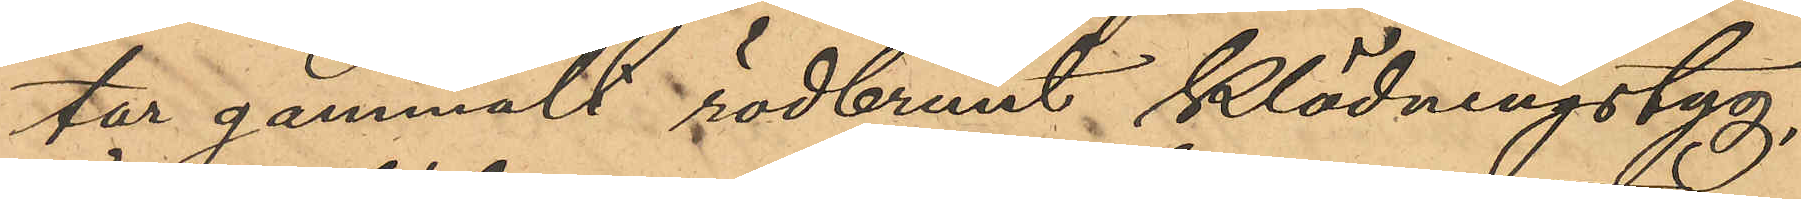tar gammalt rödbrunt klädningstyg,
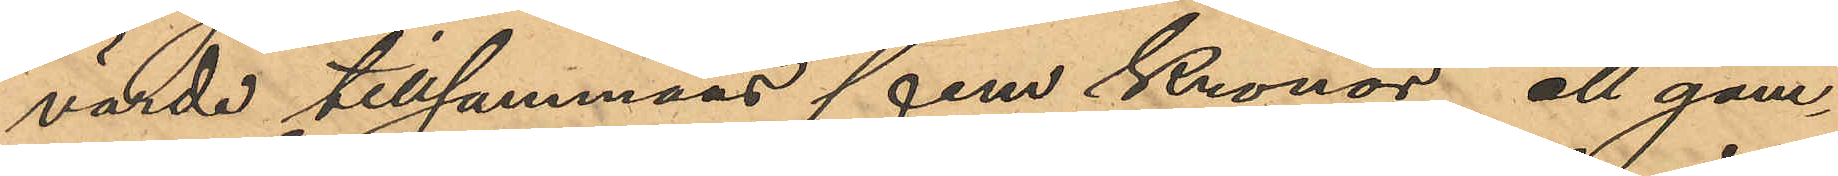värde tillsammans fem Kronor, ett gam¬
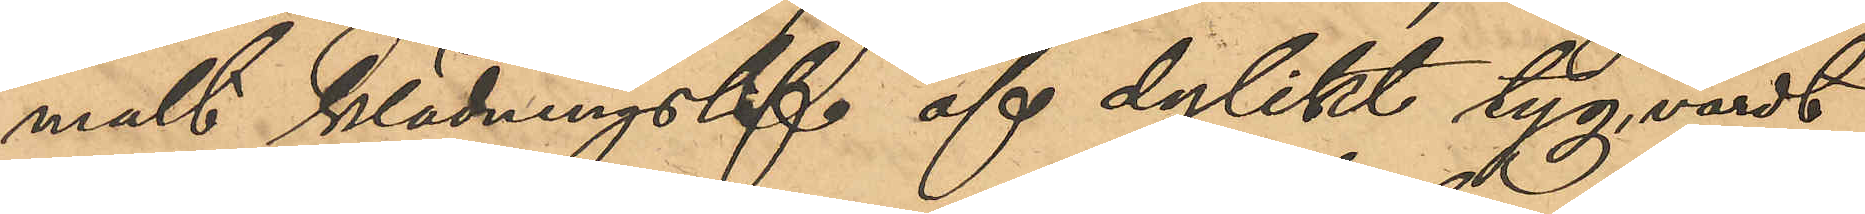malt klädningslif af dylikt tyg, värdt
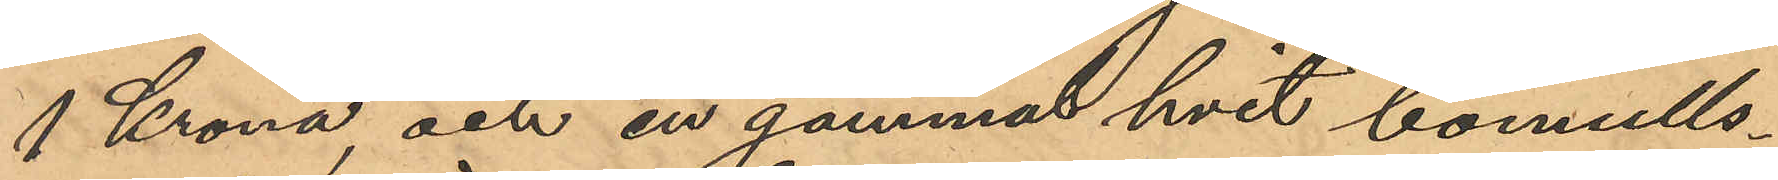1 Krona, och en gammal hvit bomulls¬
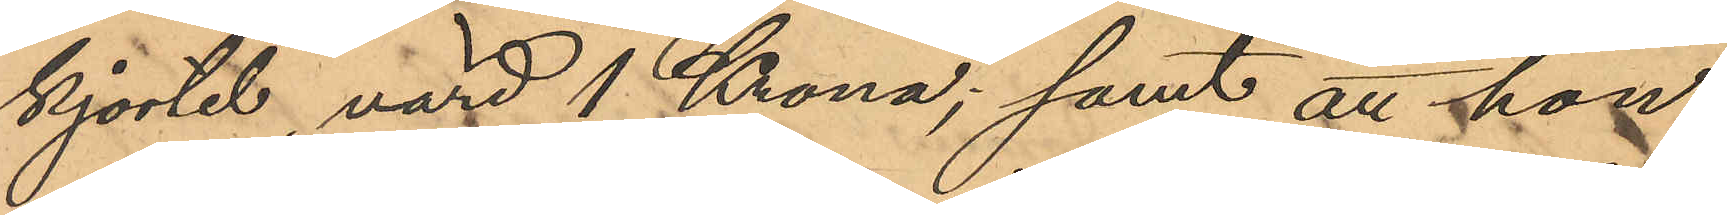kjortel, värd 1 Krona; samt att hon
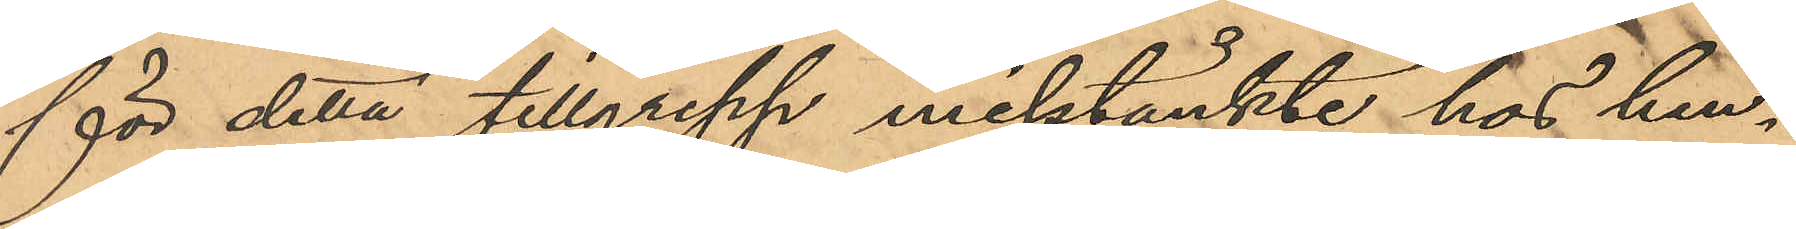för detta tillgrepp misstänkte hos hen¬
